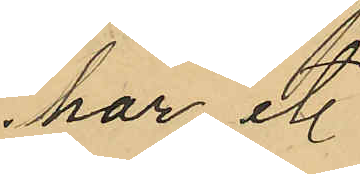har et.
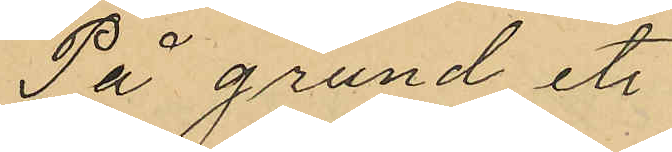På grund et.
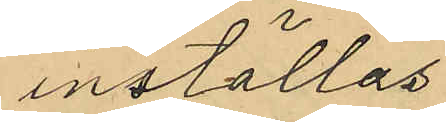inställas
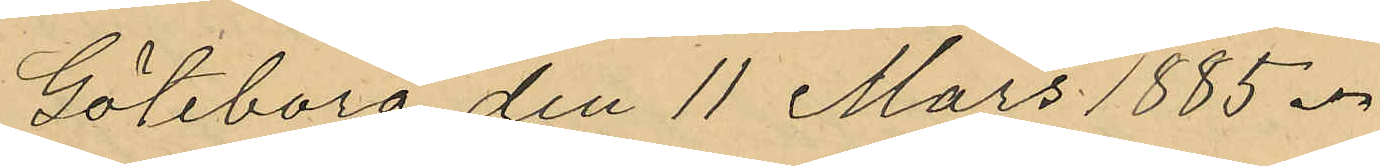Göteborg den 11 Mars 1885.
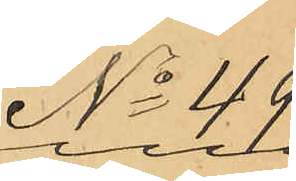No 49.
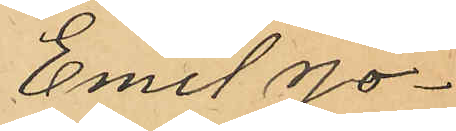Emil Jo¬
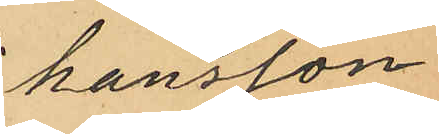hansson
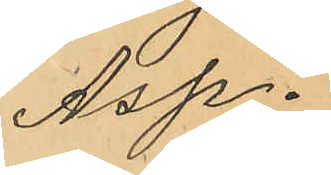Asp.
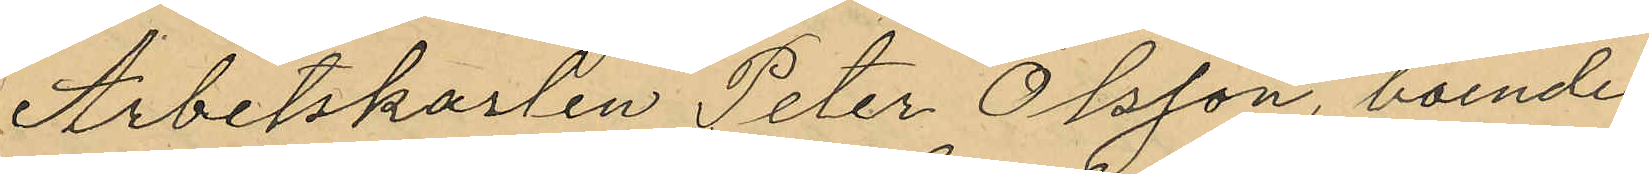Arbetskarlen Peter Olsson, boende
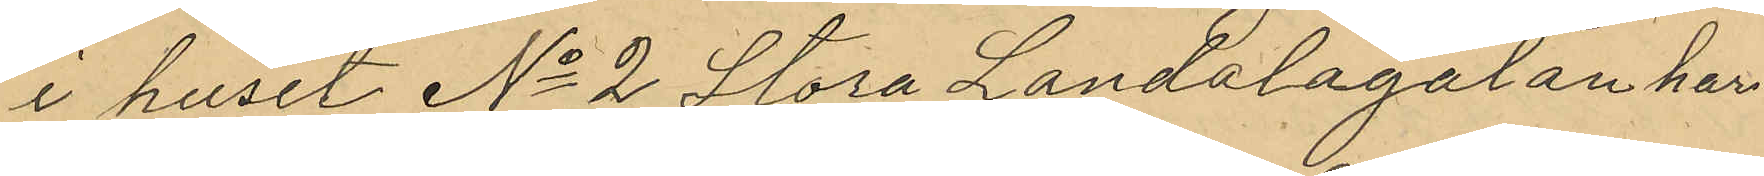i huset No 2 Stora Landalagatan har
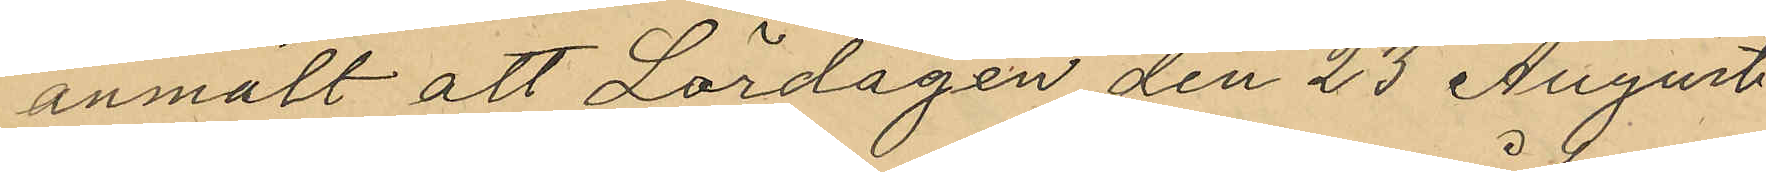anmält att Lördagen den 23 August
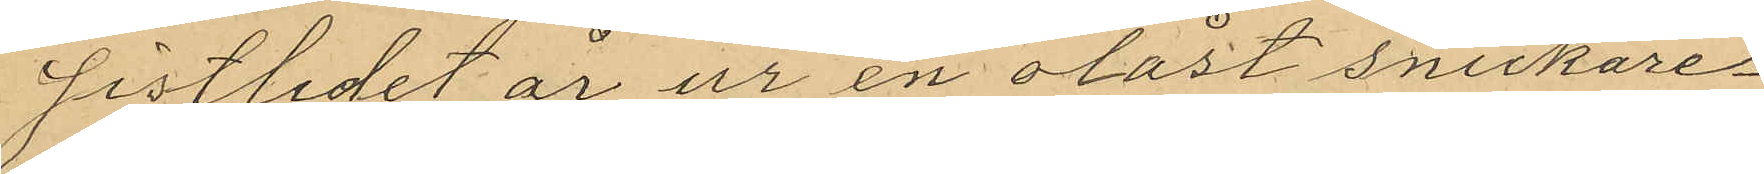sistlidet år ur en olåst snickare¬
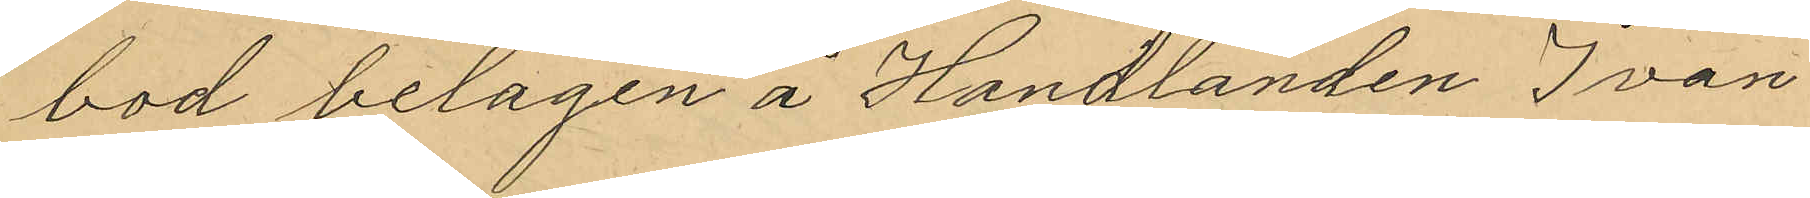bod belagen å Handlanden Ivan
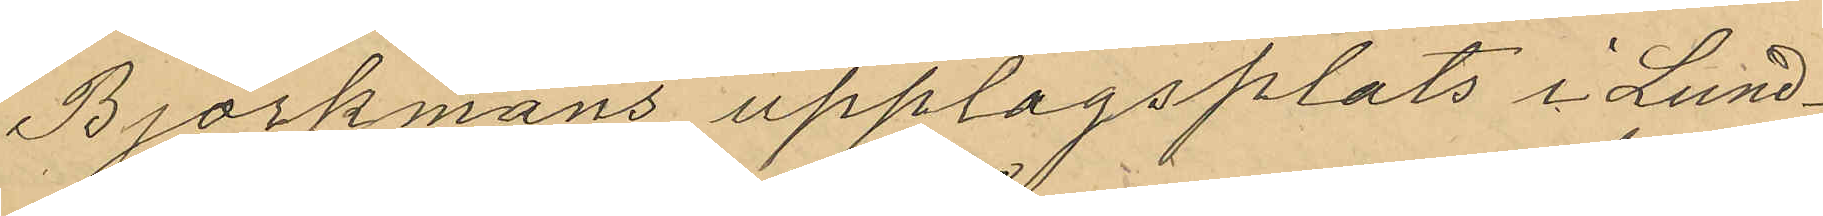Björkmans upplagsplats i Lund¬
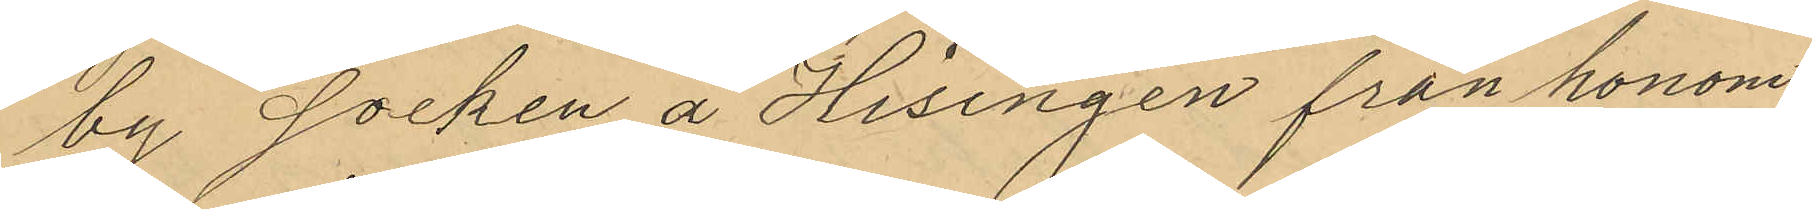by socken å Hisingen fran honom
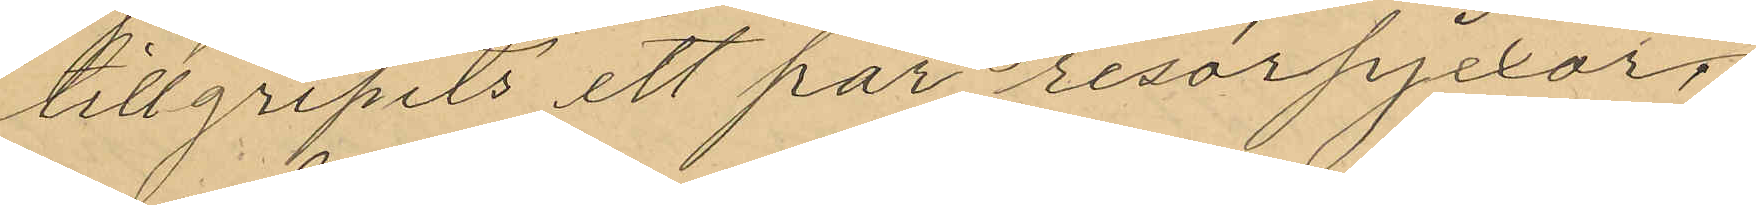tillgripits ett par resorpjexor,
